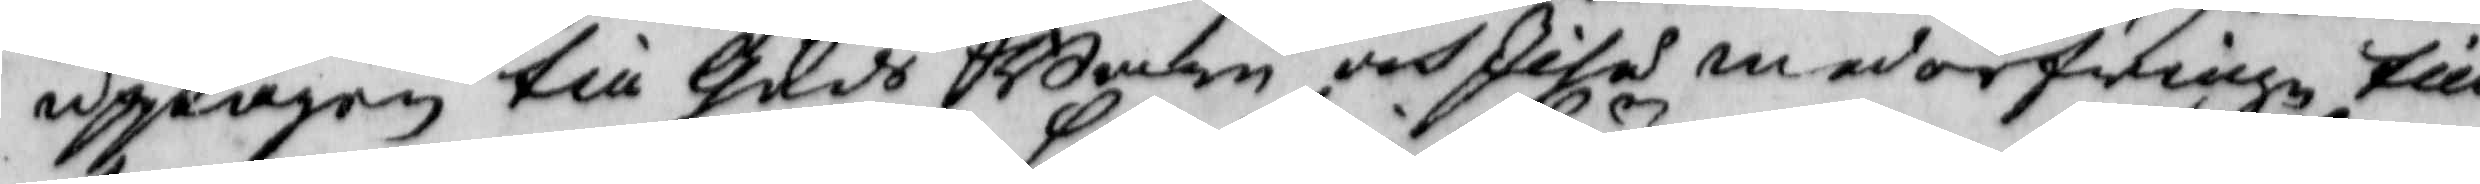upptagen till Guds Barn och Jesus med arfvinge till
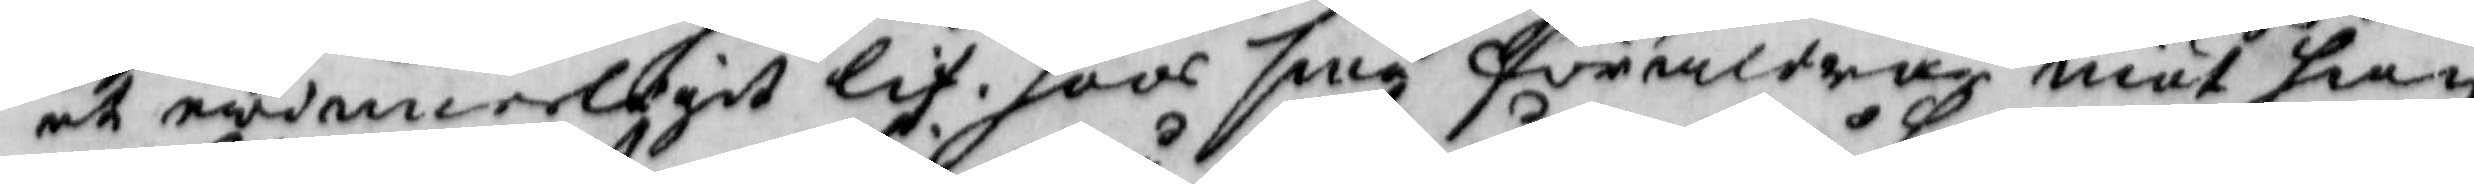et ewinnerligit lif. hoos sine föräldrar niöt han
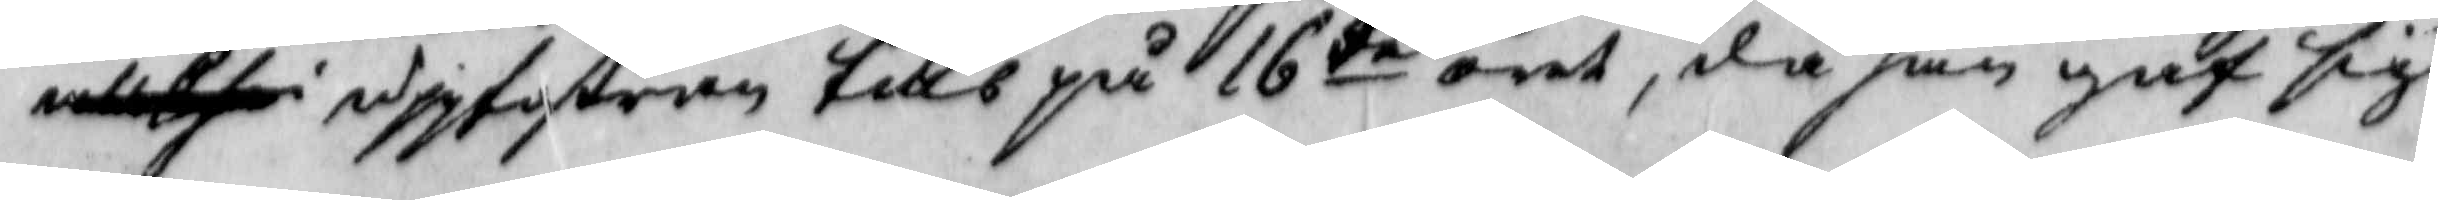uppfostran tills på 16de året, då han gaf sig
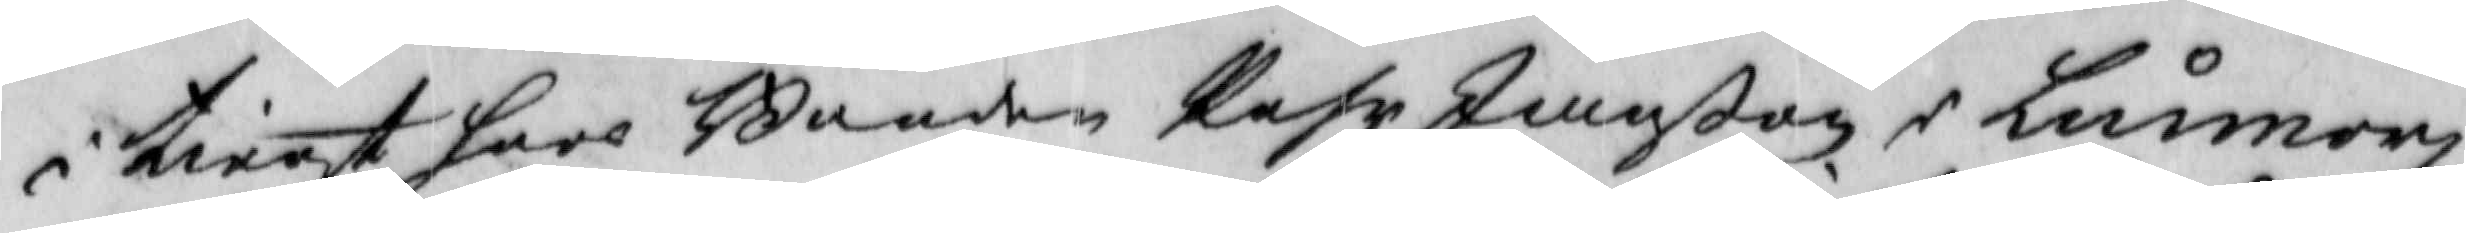i tienst hoos Bonden Pehr Janßon i Lunnor
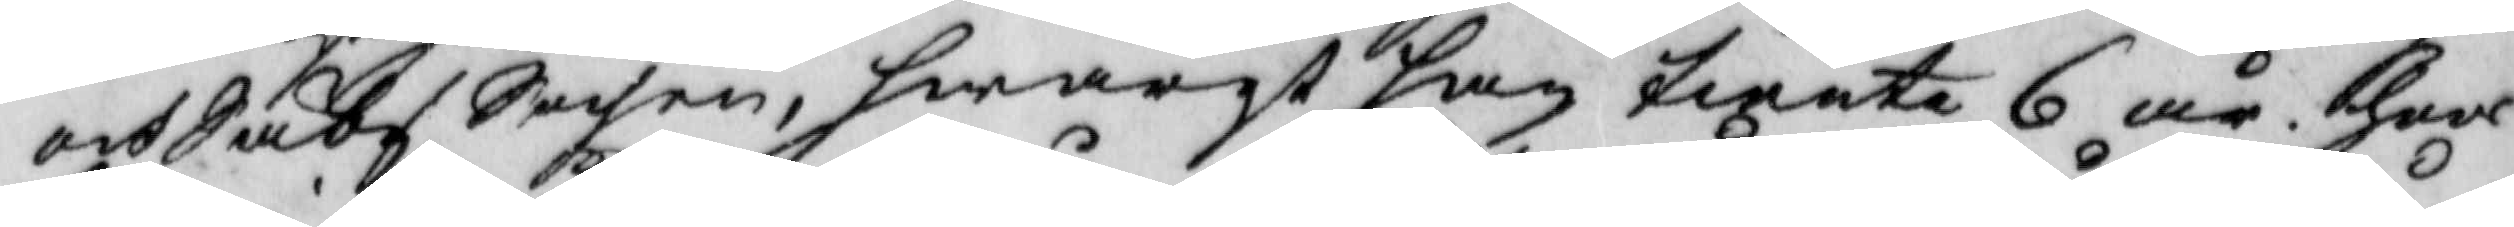och Säby Sochen, hwarest han tiente 6 år. hoos
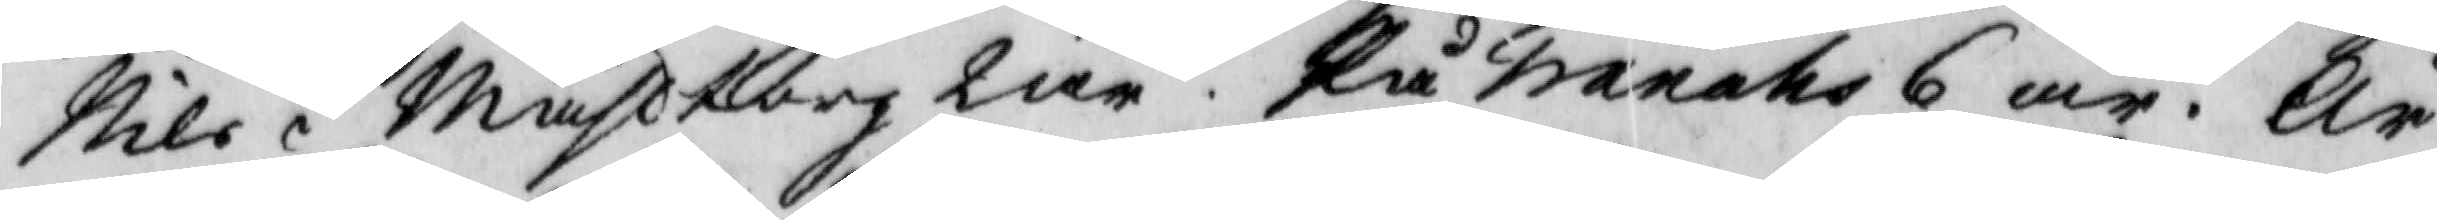Nils i Måhlborg 2 år. På Tranåhs 6 år. År
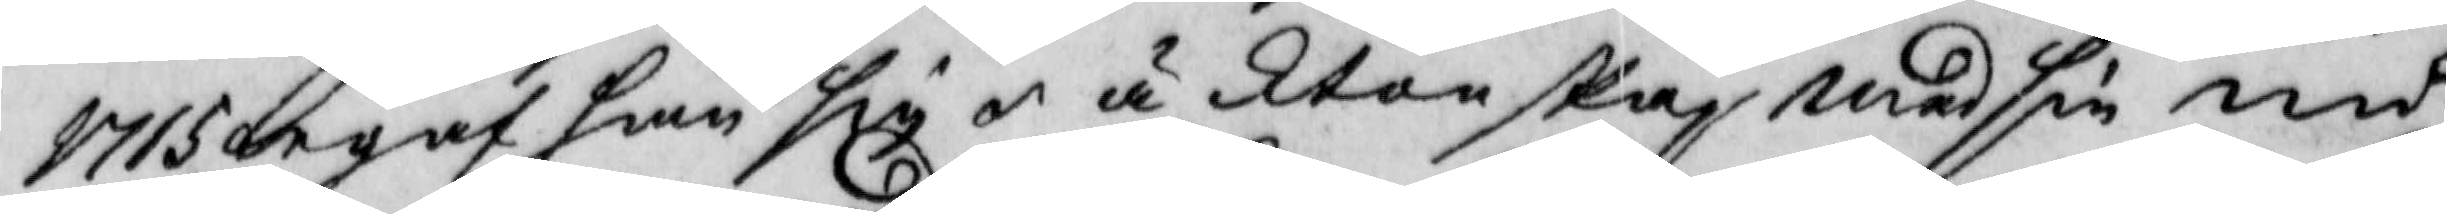1715 begaf han sig i äktenskap med sin nu
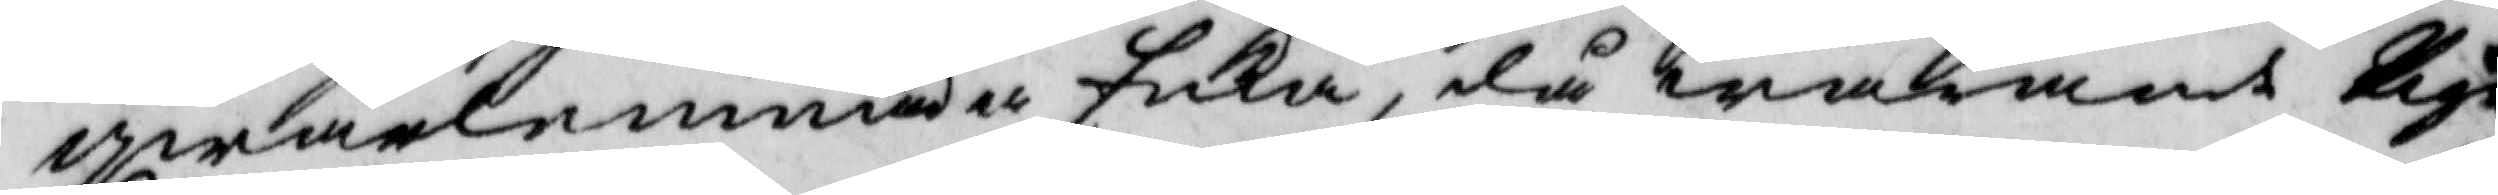qwarlemnade Enka, då warande Pigan
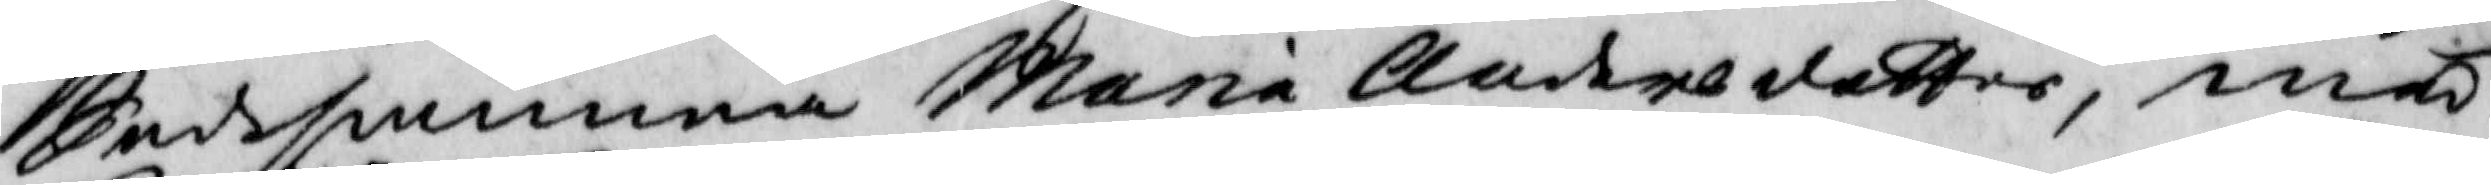Sedsamma Maria Andersdotter, med
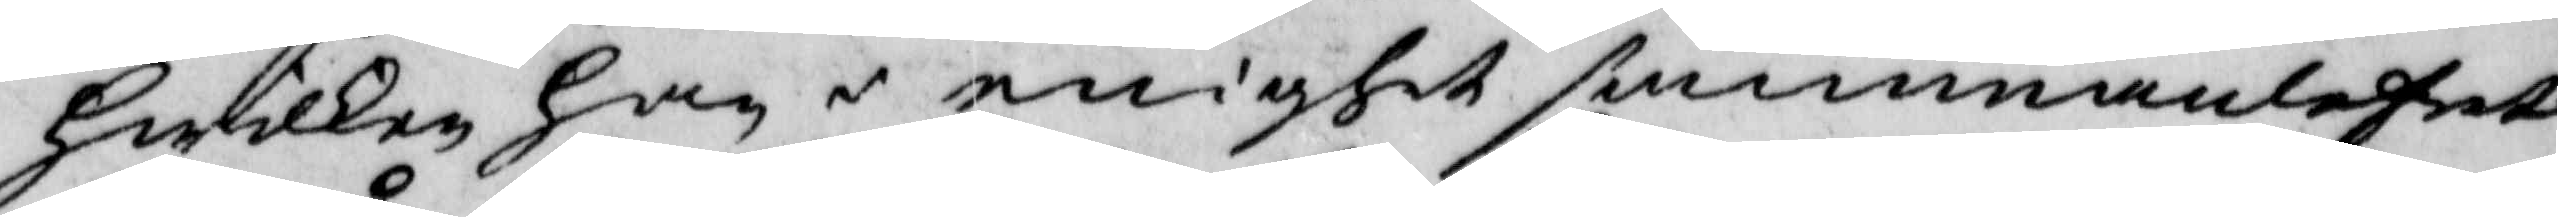hwilken han i enighet sammanlefvat
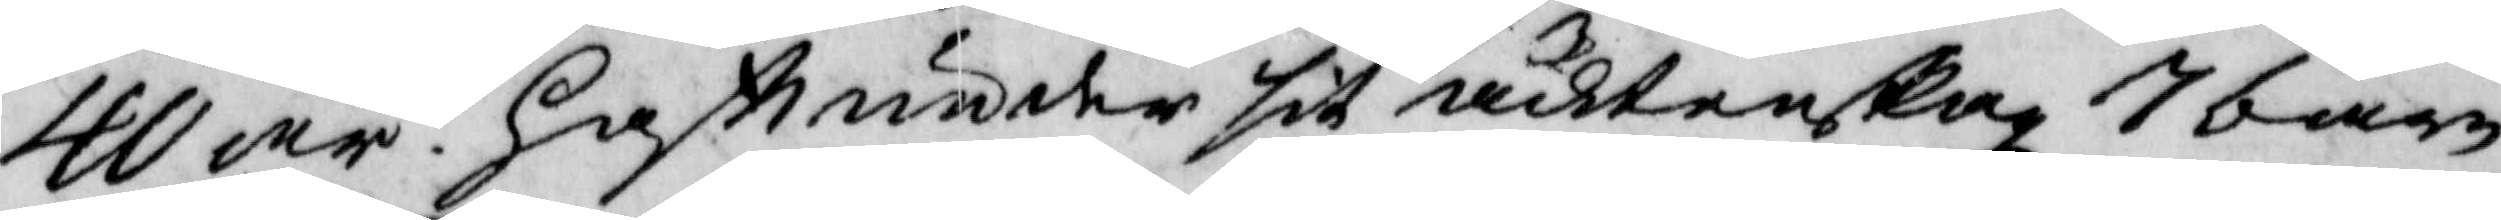40 år. haftt under sitt ächtenskap 7 barn
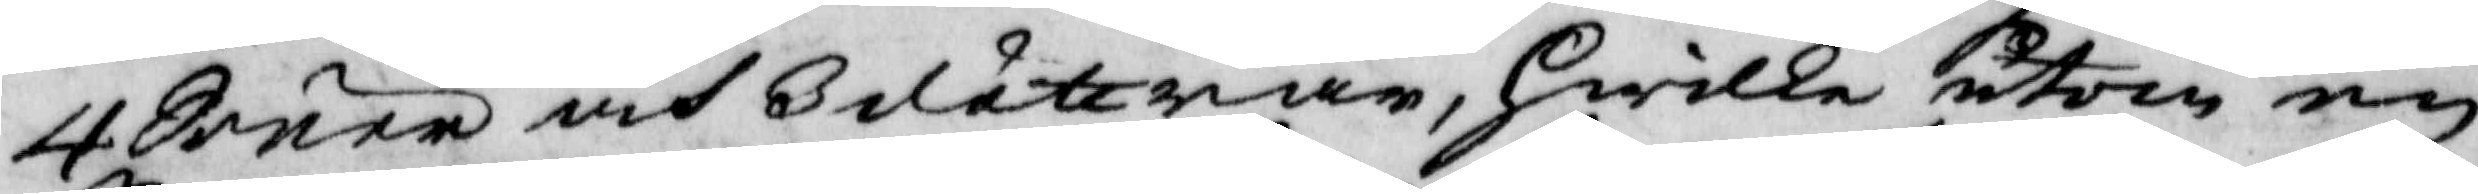4 Söner och 3 döttrar, hwilke utom en
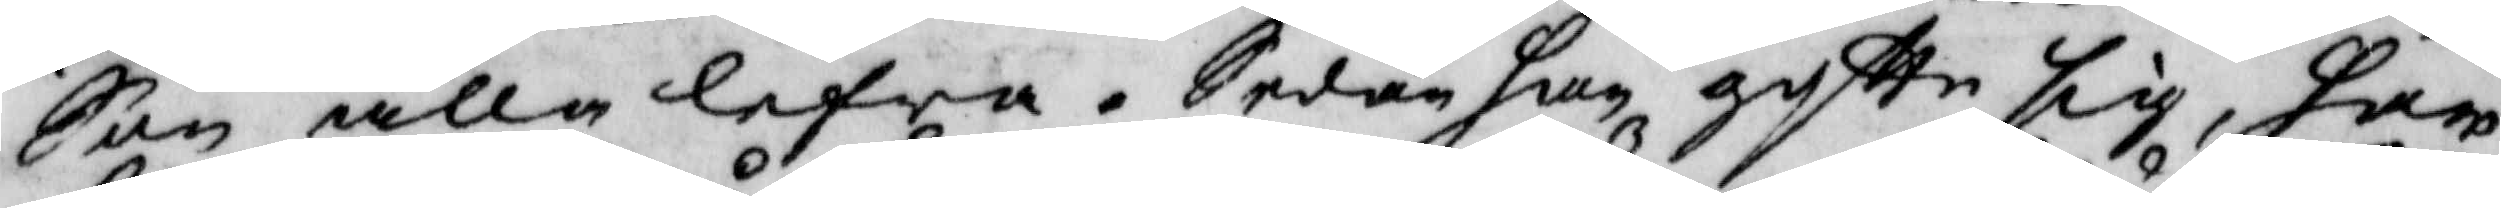Son alla lefwa. Sedan han giftte sig, har
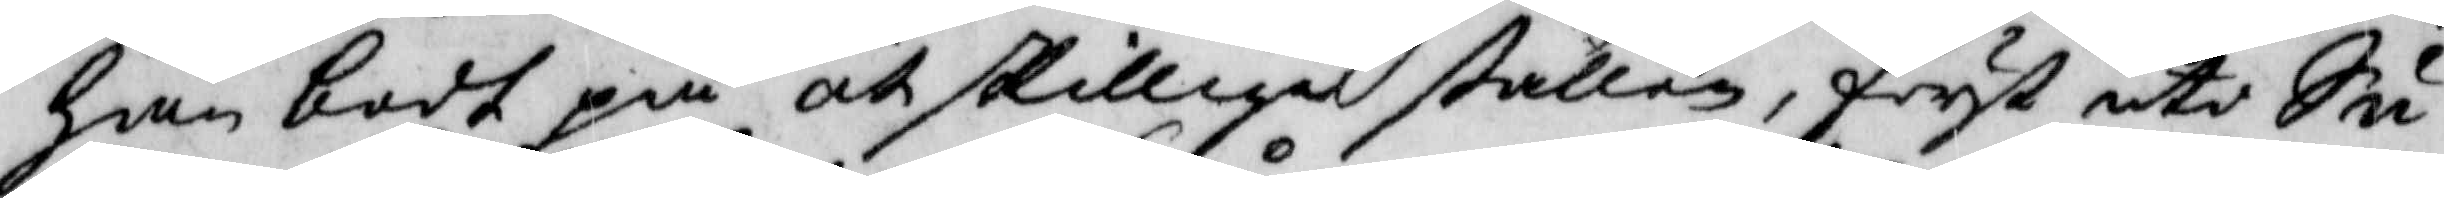han bodt på åtskilliga ställen, först uti Su¬
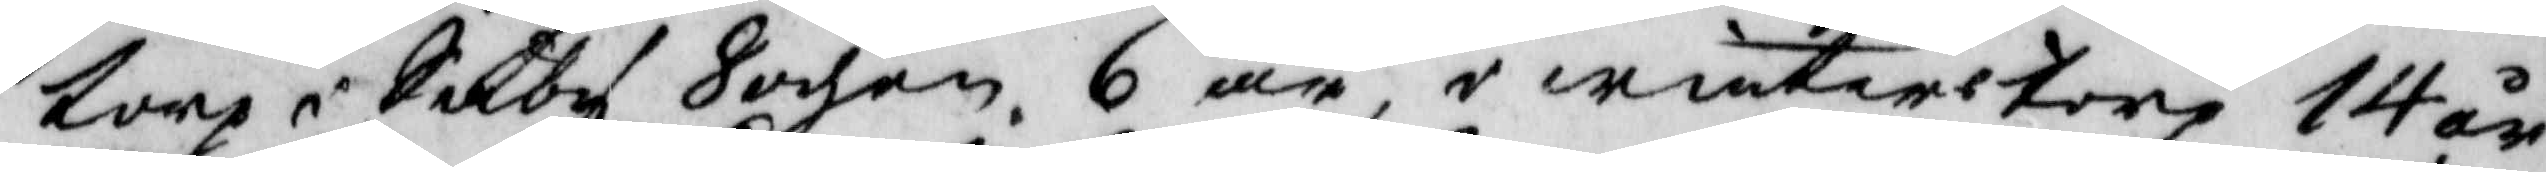torp i Säby Sochen 6 år, i winterstorp 14 år
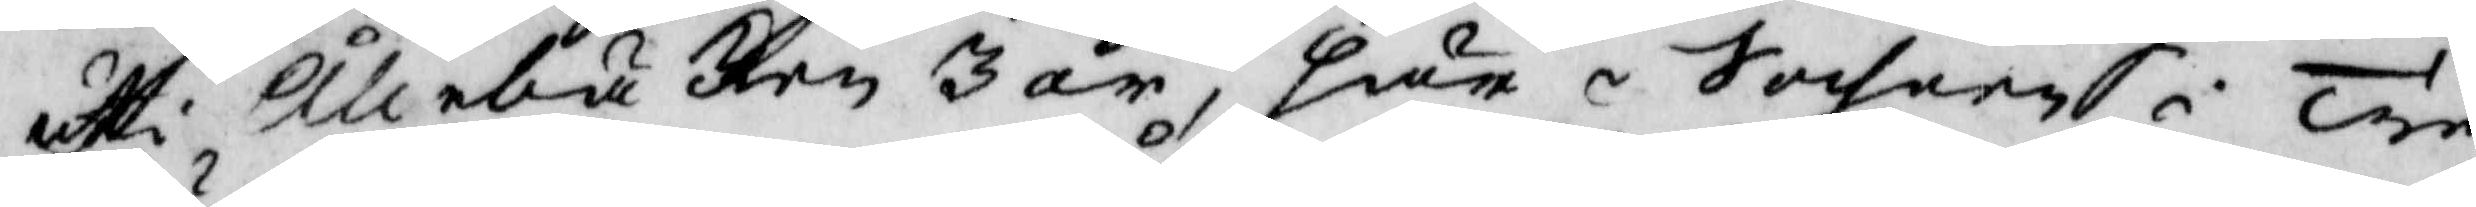uti Ållebäcken 3 år, här i Sochnen Tre¬
